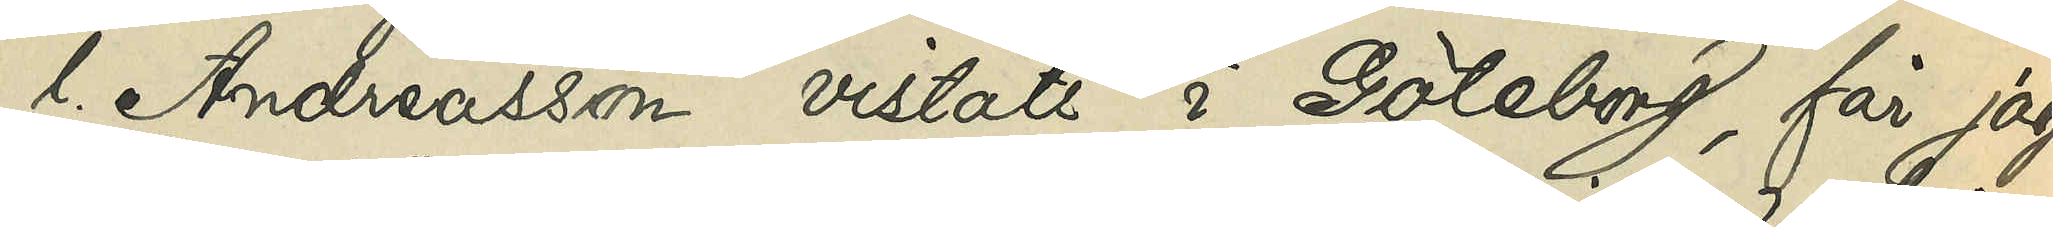l. Andreasson vistats i Göteborg, får jag,
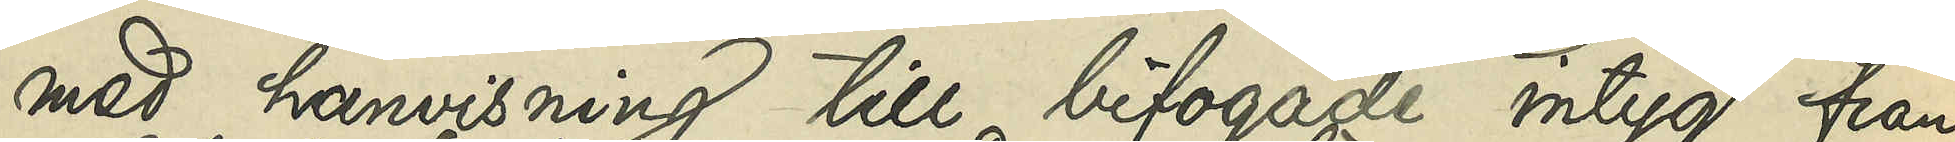med hänvisning till bifogade intyg från
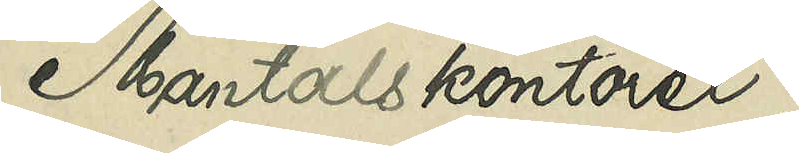Mantalskontoret,
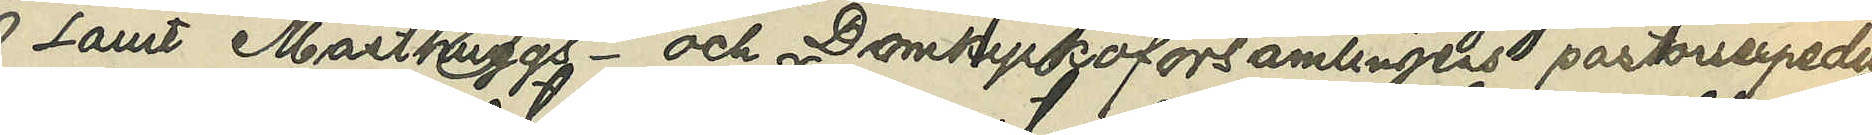samt Masthuggs - och Domkyrkoförsamlingens pastorsexpedtioner
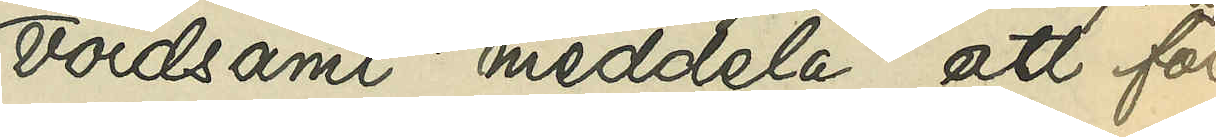vördsamt meddela, att föl¬
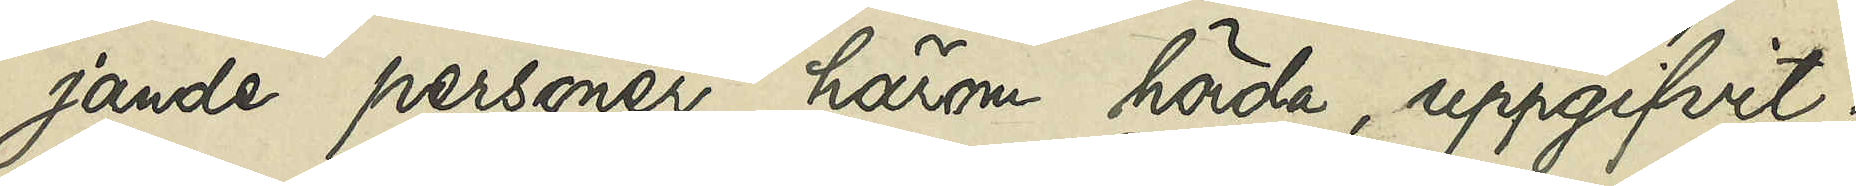jande personer, härom hörde, uppgifvit:
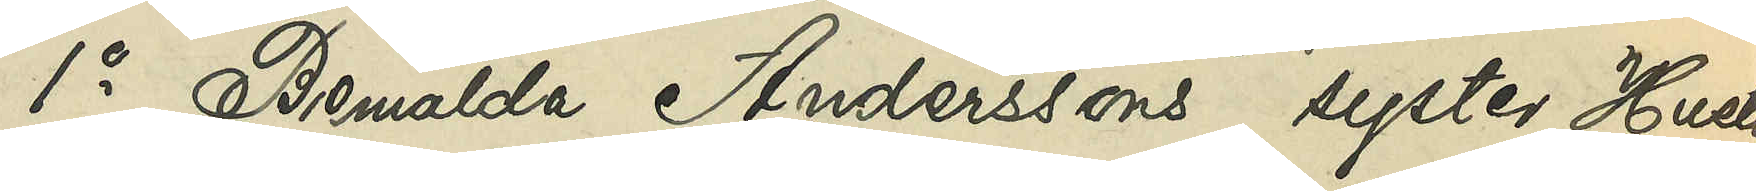1o Bemälda Anderssons syster, Hustrun
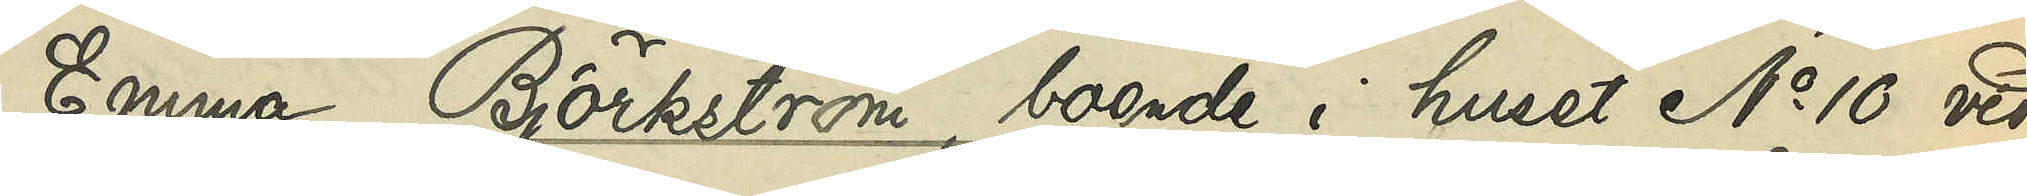Emma Björkström, boende i huset No 10 vid
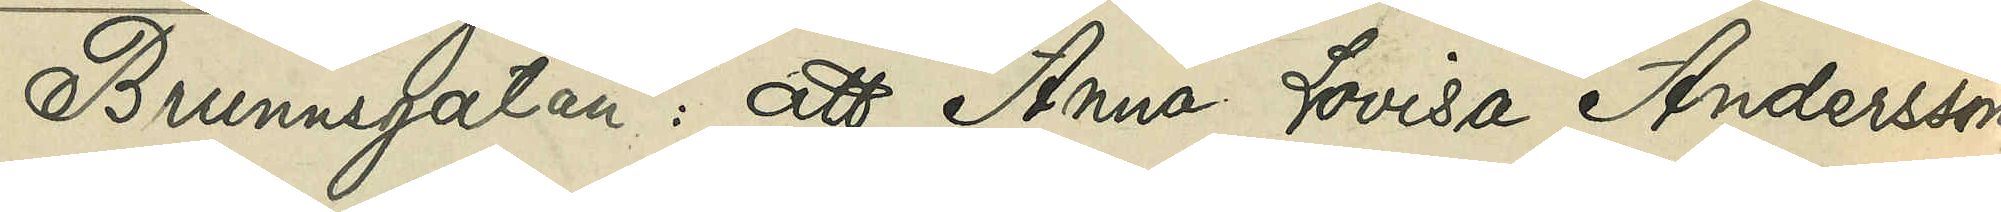Brunnsgatan: att Anna Lovisa Andersson,
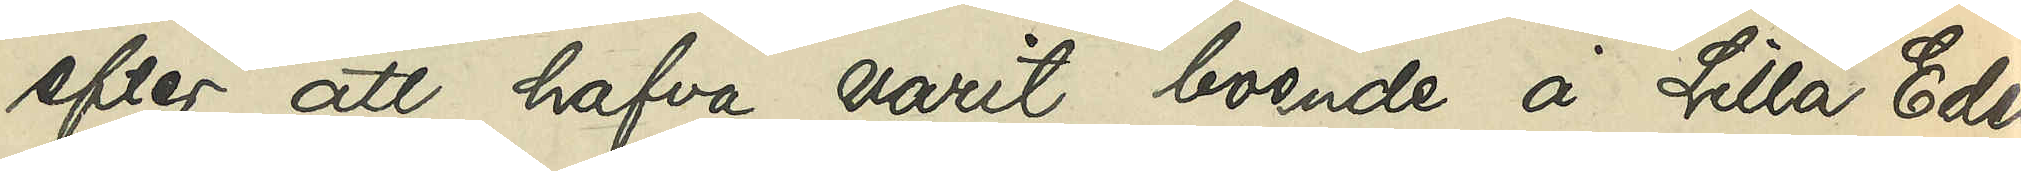efter att hafva varit boende å Lilla Edet
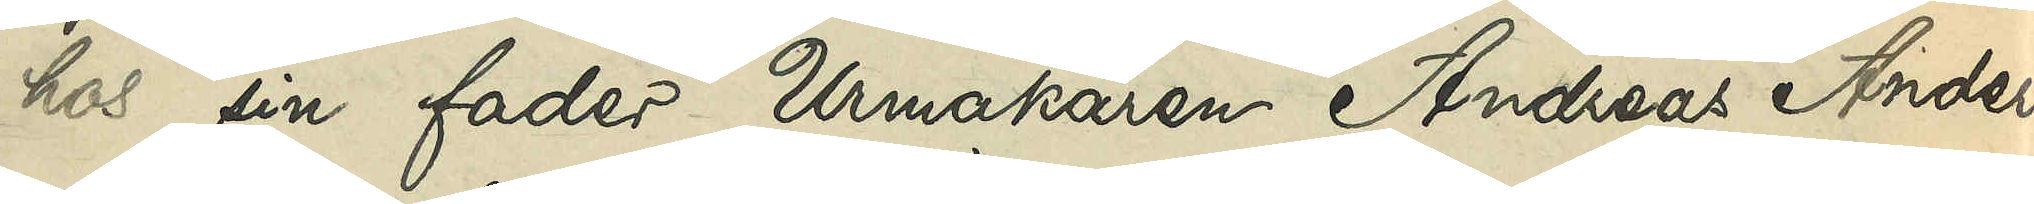hos sin fader Urmakaren Andreas Anders¬
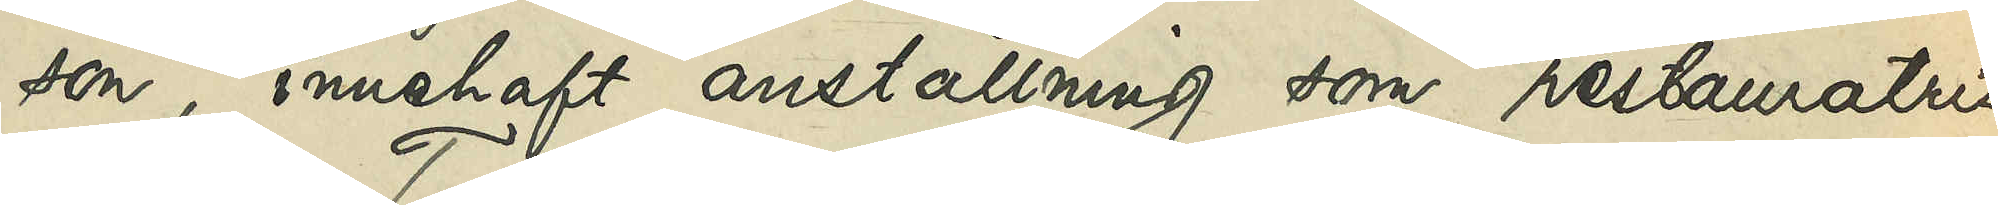son, innehaft anställning som restauratris
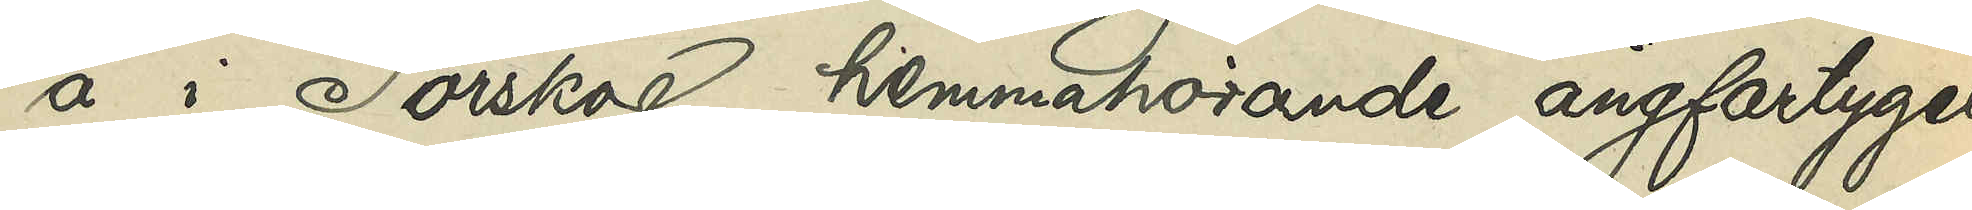å i Torskog hemmahörande ångfartyget
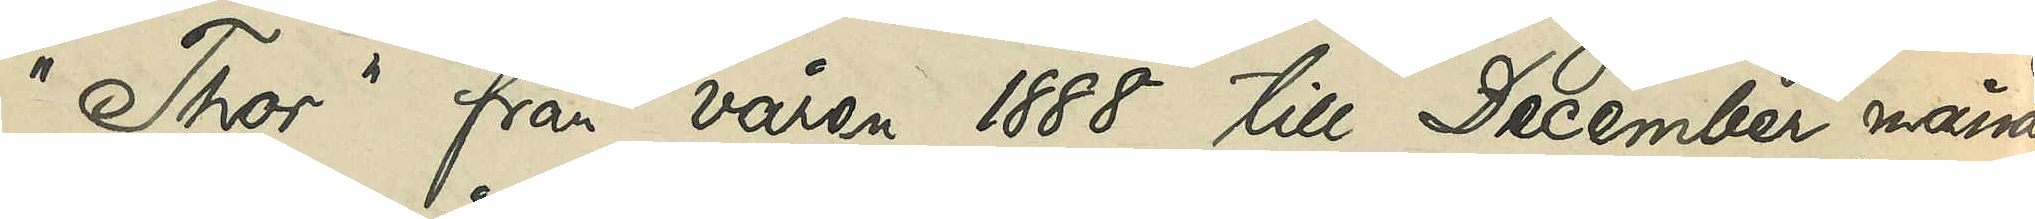"Thor" från våren 1888 till December månad
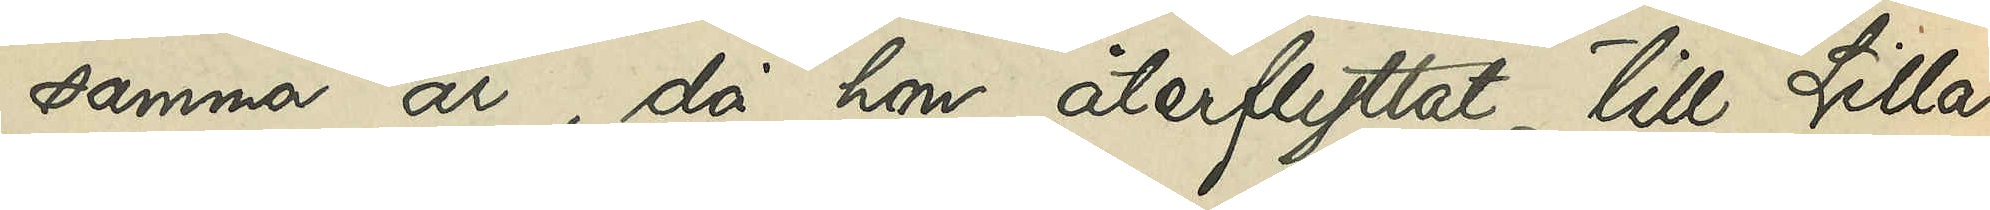samma år, då hon återflyttat till Lilla
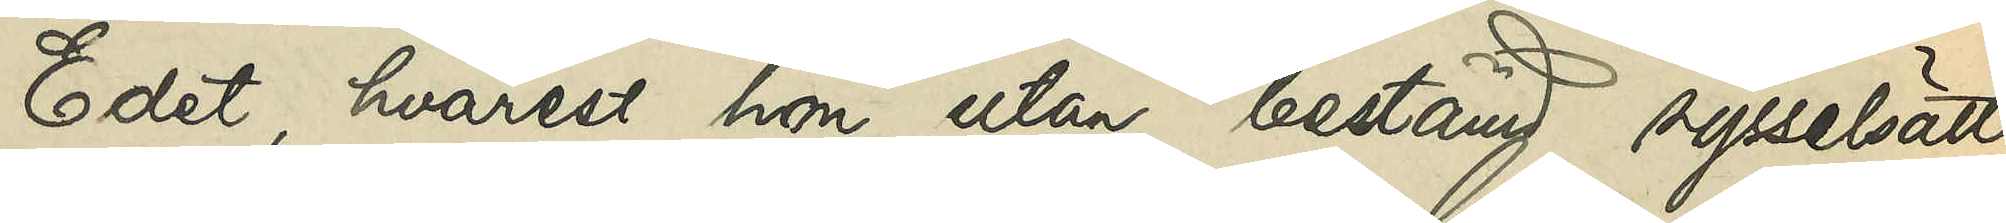Edet, hvarest hon utan bestämd sysselsätt¬
